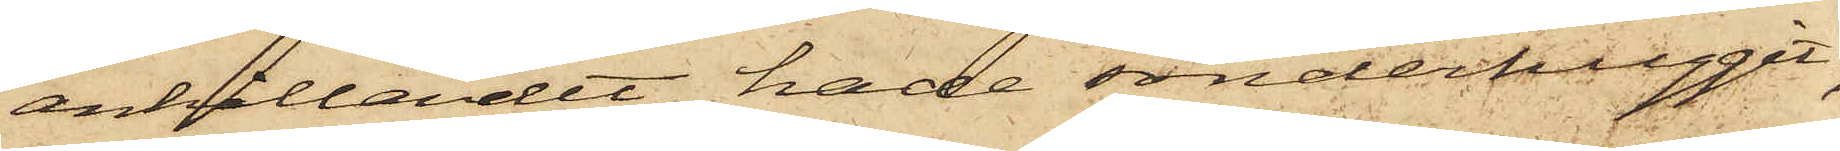anhållandet hade sönderhuggit,
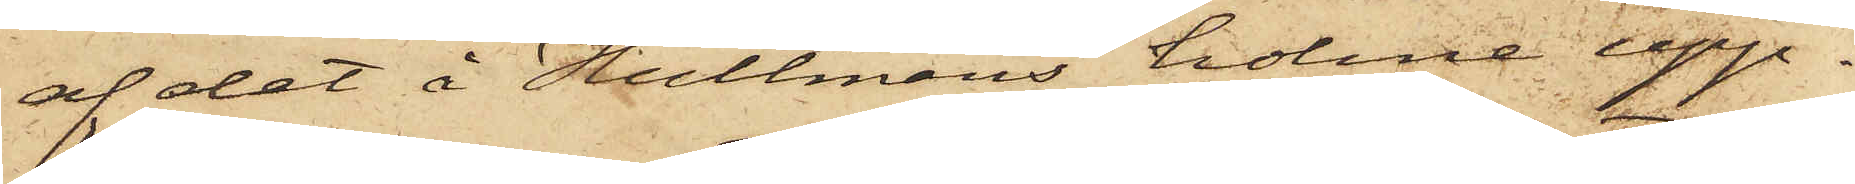af det å Hultmans holme upp¬
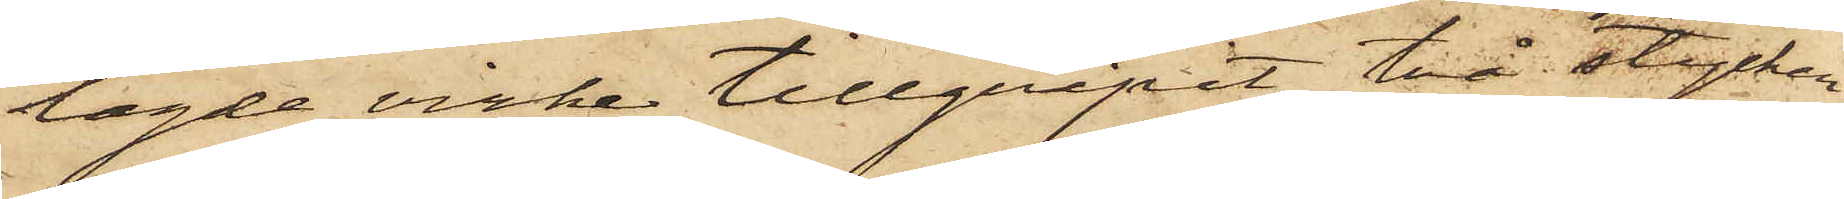lagde virke tillgripit två stycken
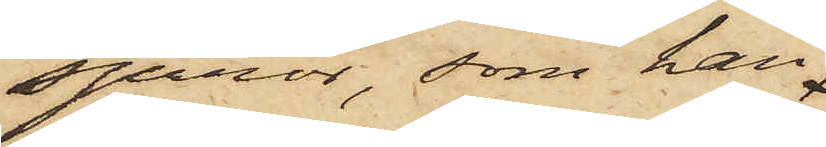spiror, som han
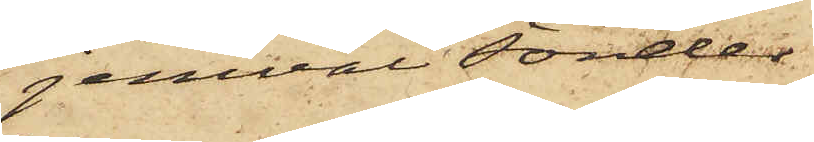jemväl sönder¬
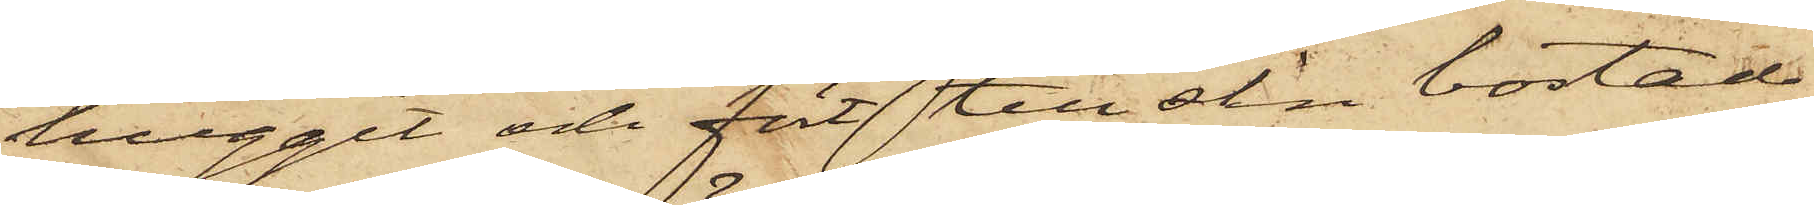huggit och fört till sin bostad
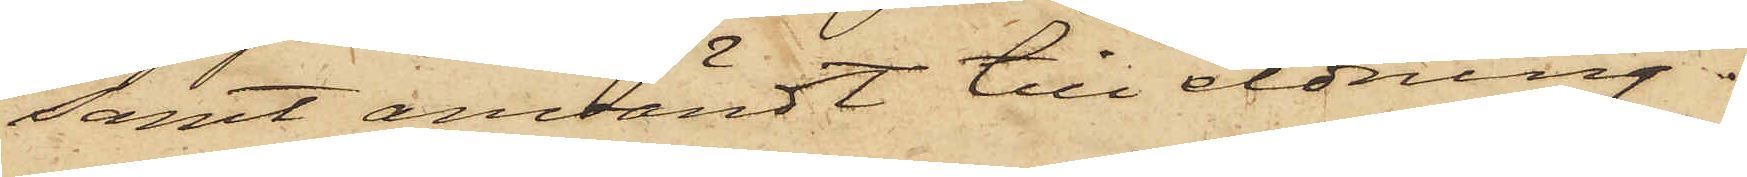samt användt till eldning.
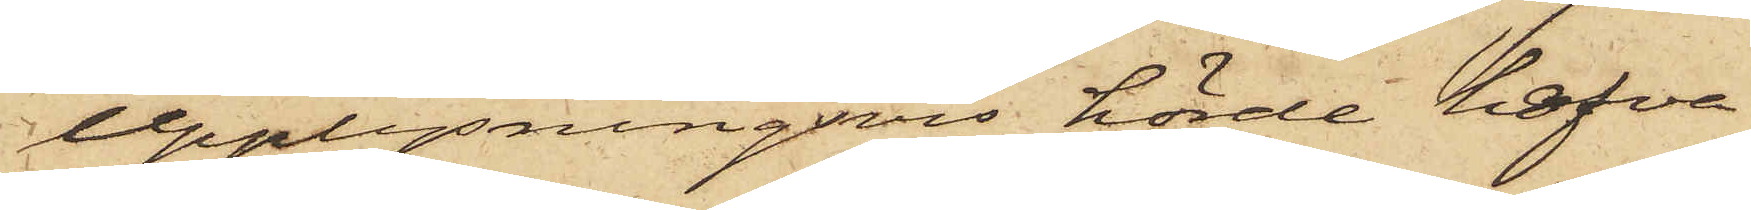Upplysningsvis hörde hafva
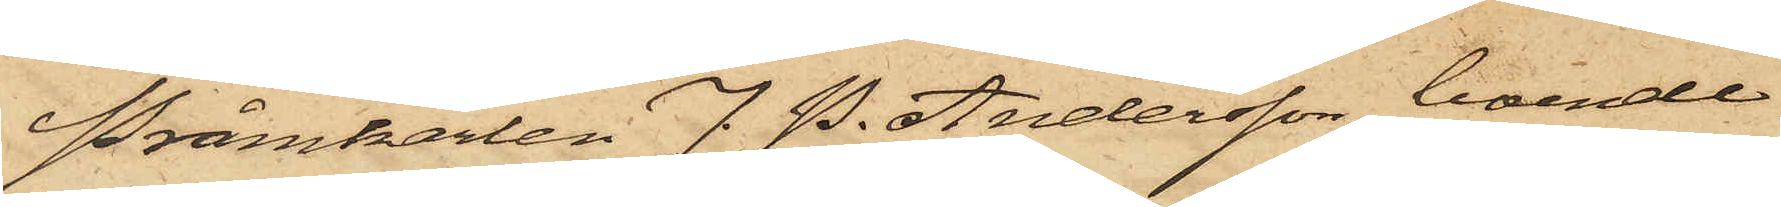Pråmkarlen J. P. Andersson, boende
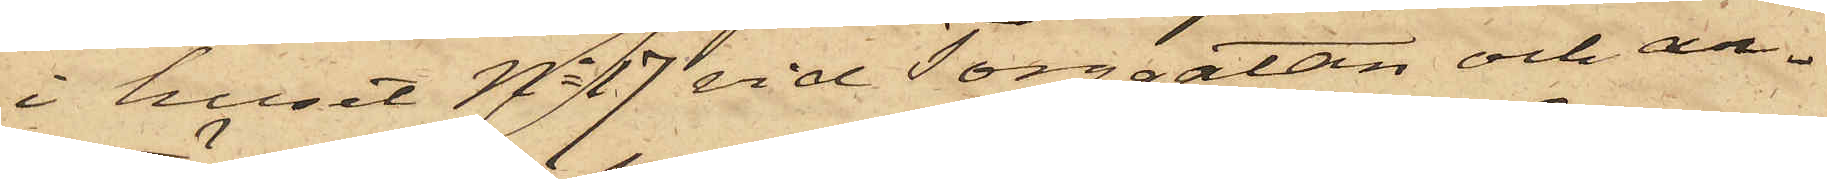i huset No 17 vid Torggatan och an¬
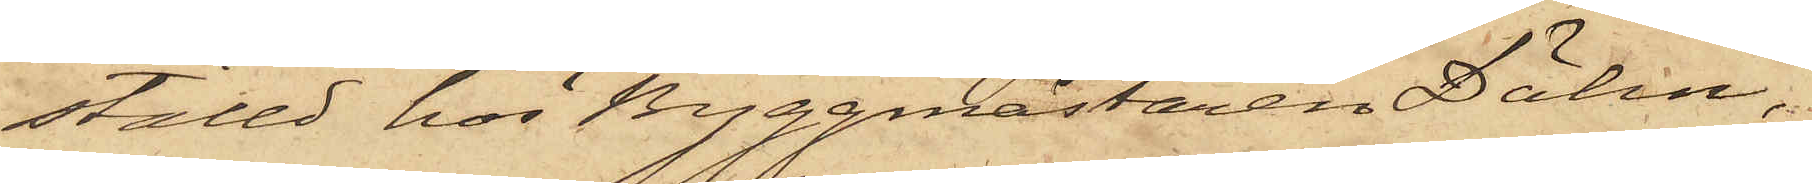ställd hos Byggmästaren Dähn,
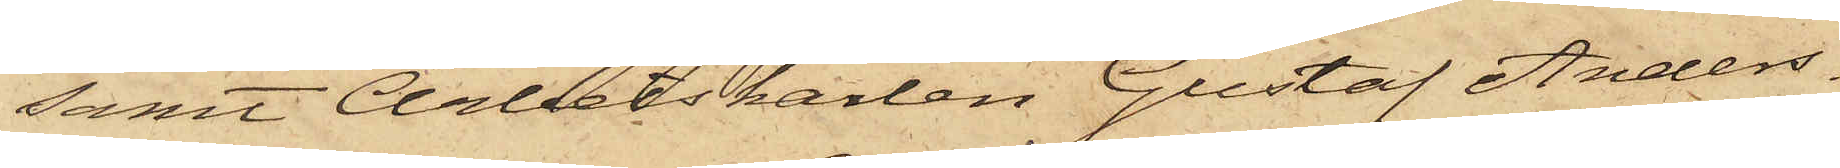samt Arbetskarlen Gustaf Anders¬
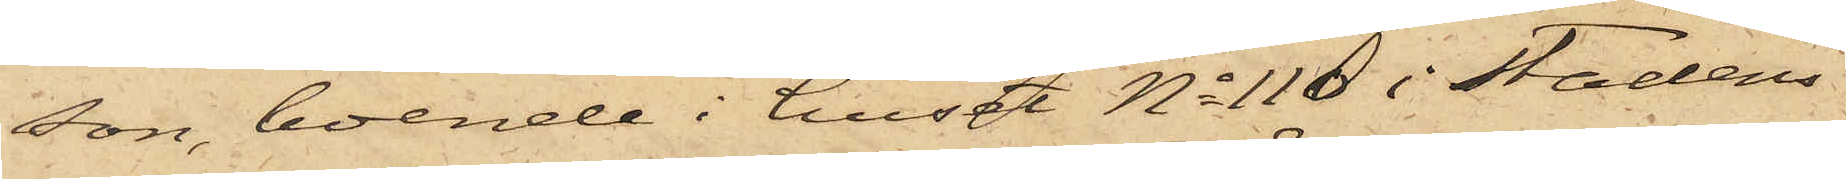son, boende i huset No 110 i Stadens
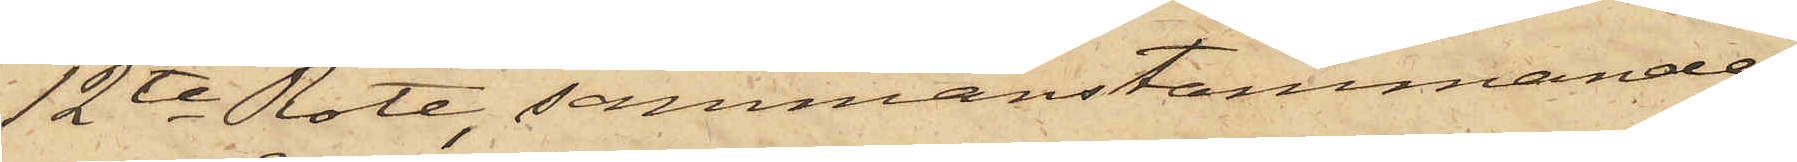12te Rote, sammanstämmande
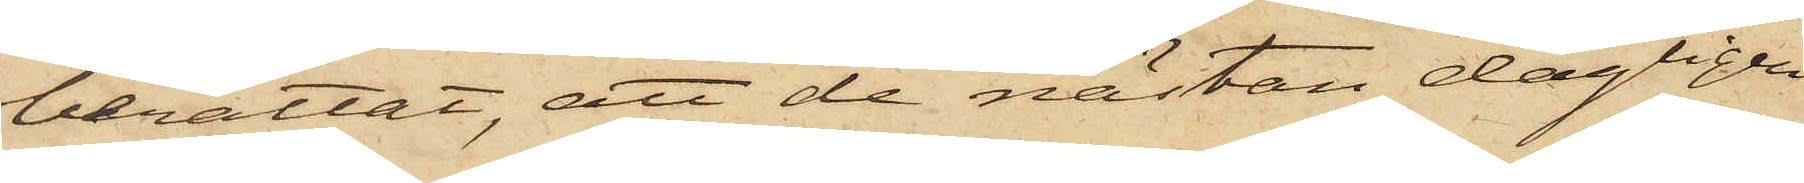berättat, att de nästan dagligen
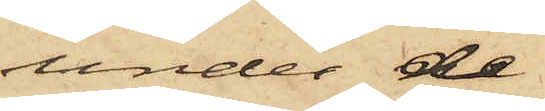under de
